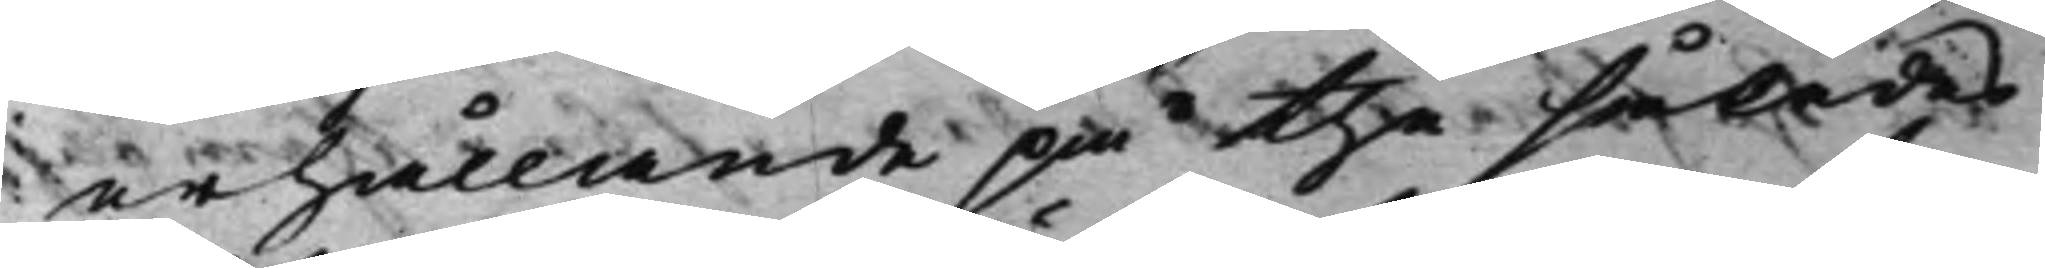erhållande på the således
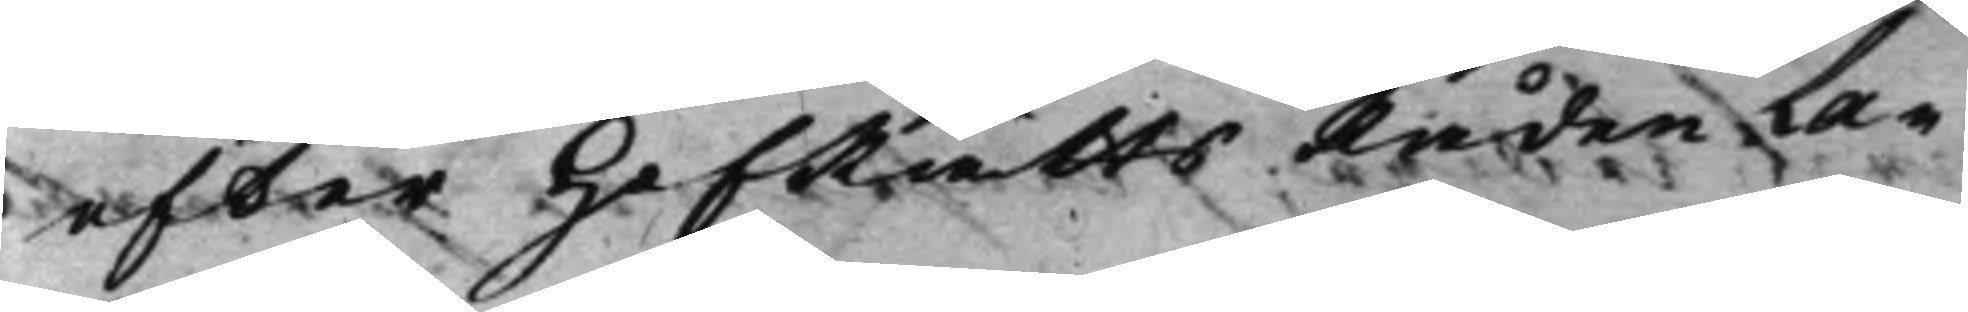efter HofRättsRåden La¬
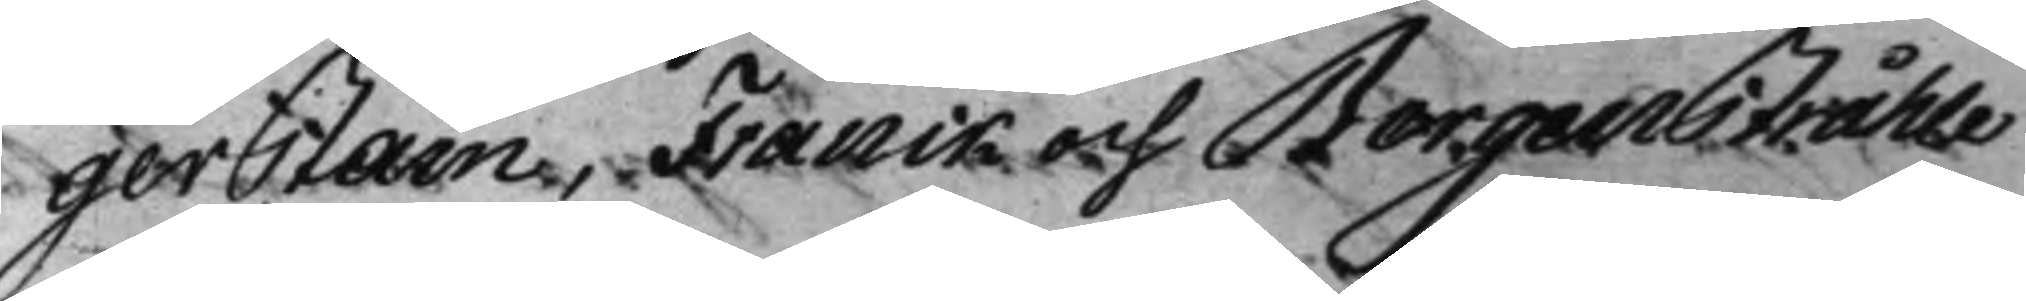gerstam, Franck och Bergentråhle
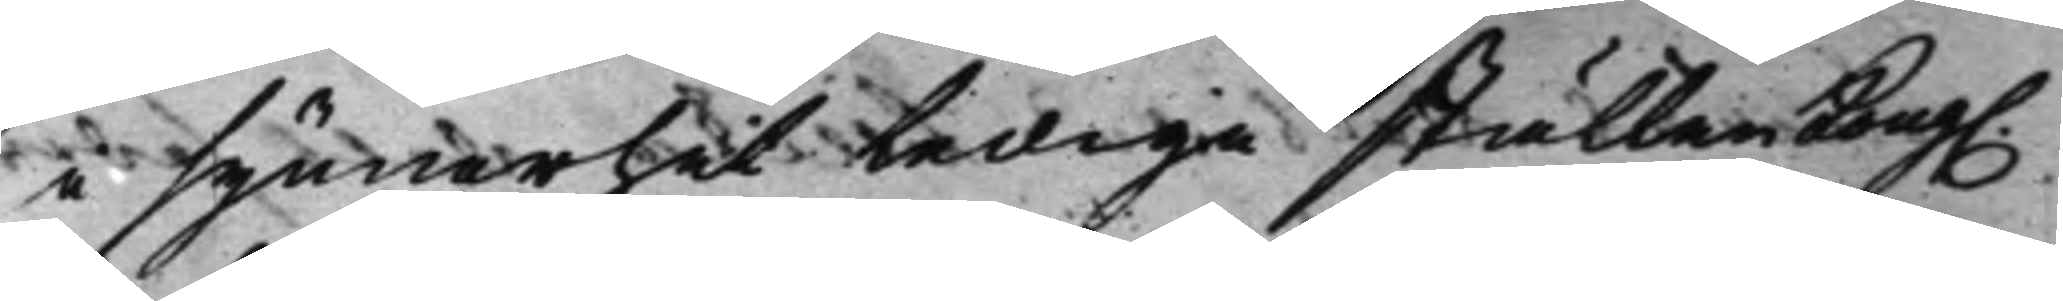i synnerhet Ledige ställen Kong. 
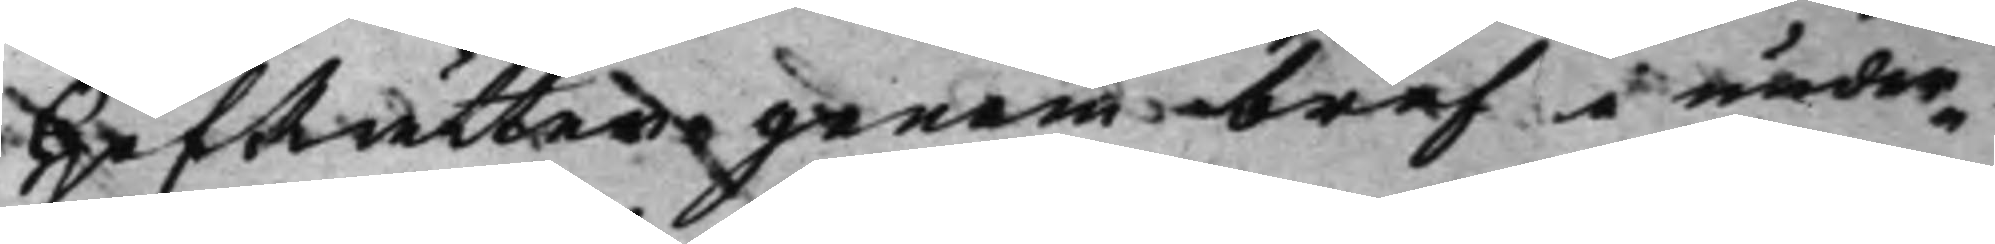HofRätten genom bref i under¬
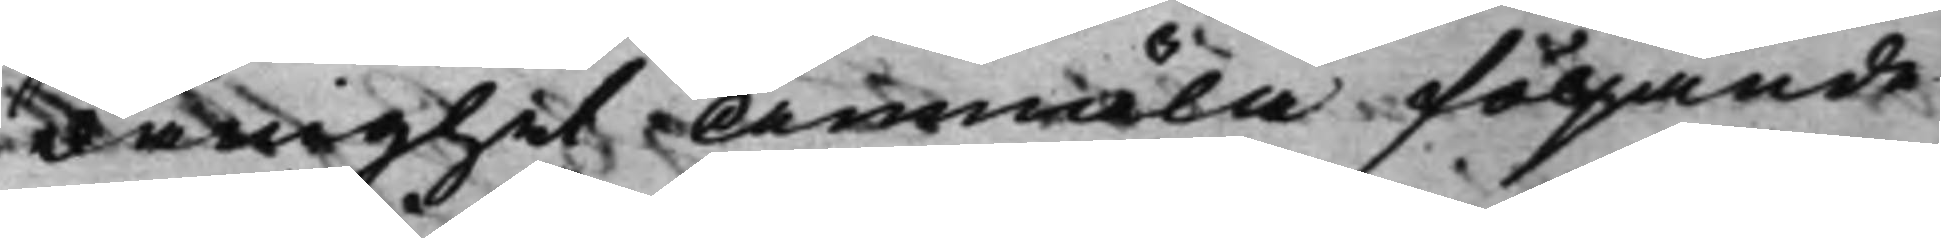dånighet Anmäla följande
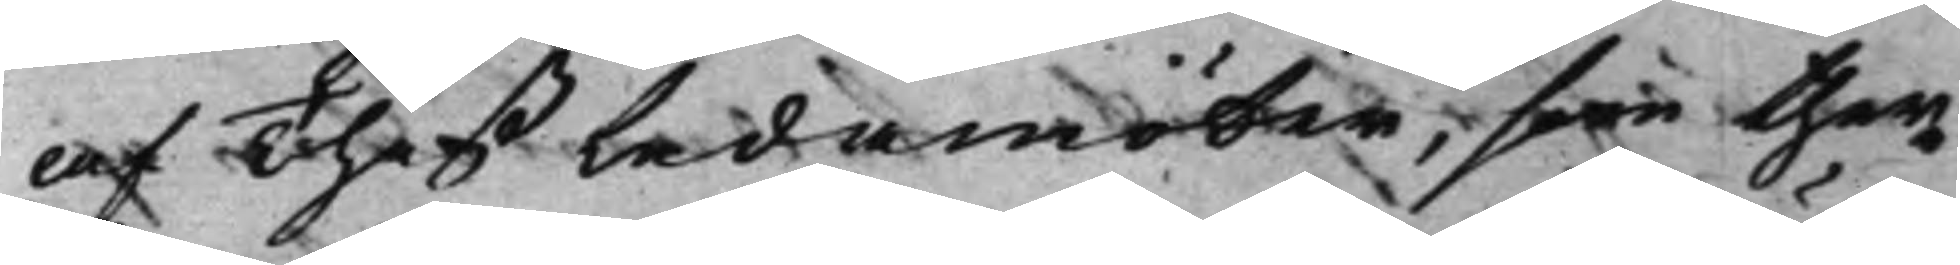af Theß Ledamöter, som ther¬
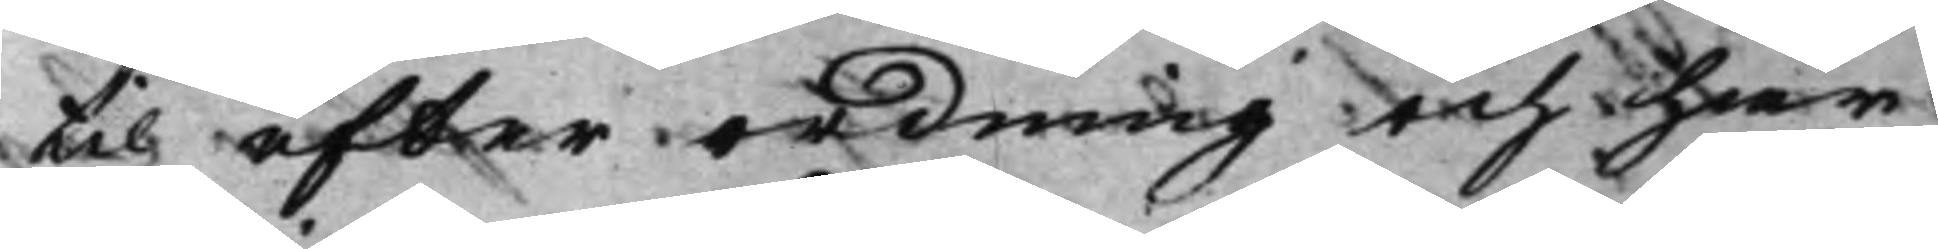til efter ordning och här
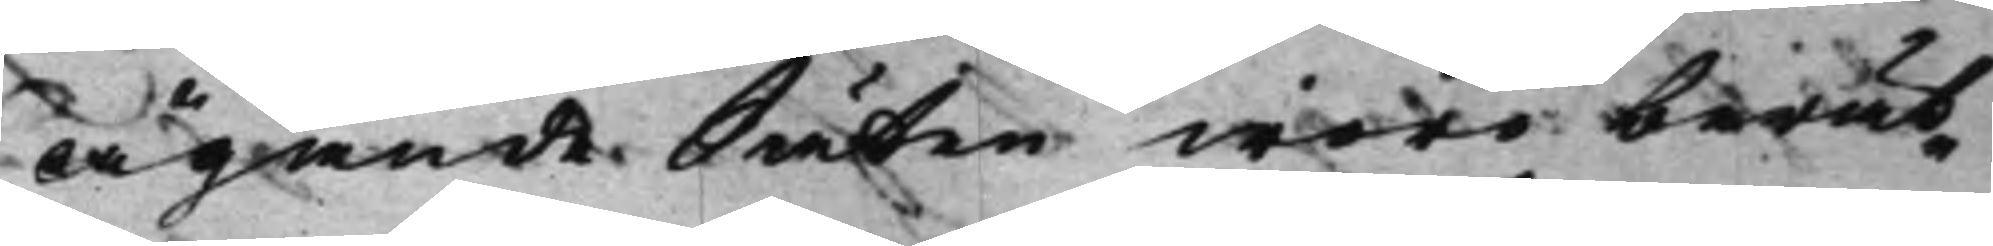ägande Säten woro berät¬
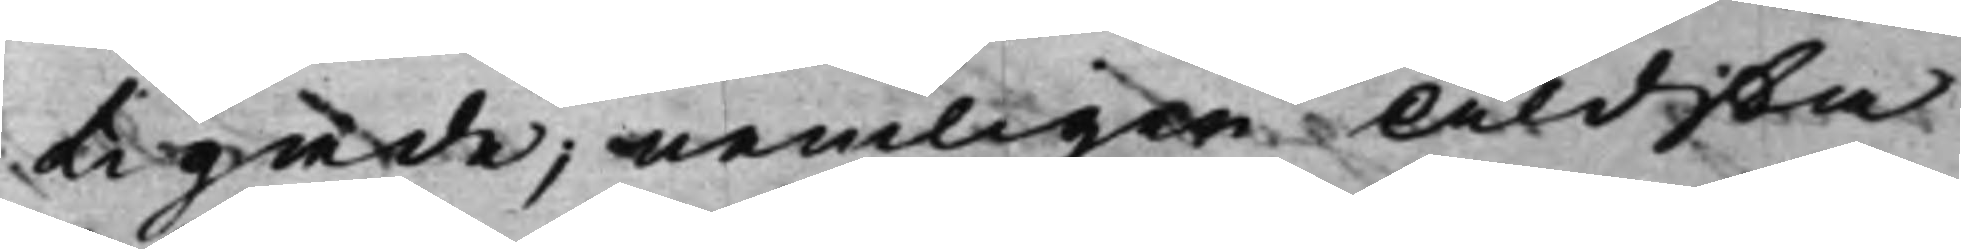tigade; nemligen Äldsta
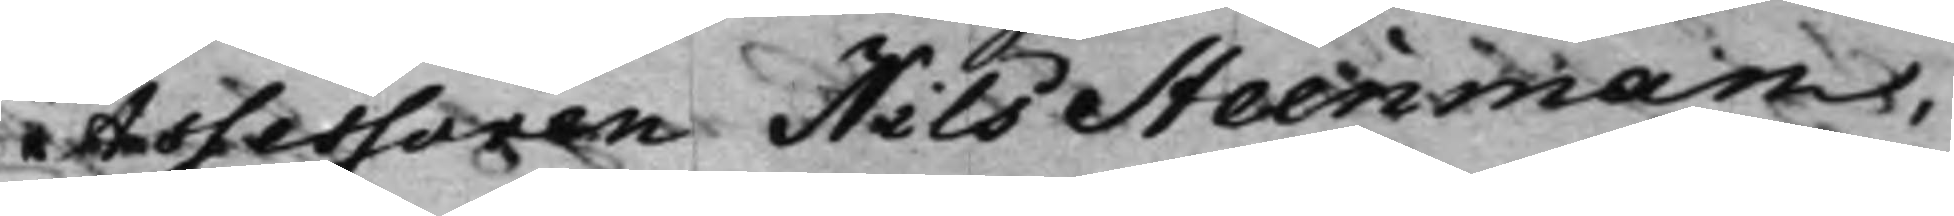Assessoren Nils Steenman,
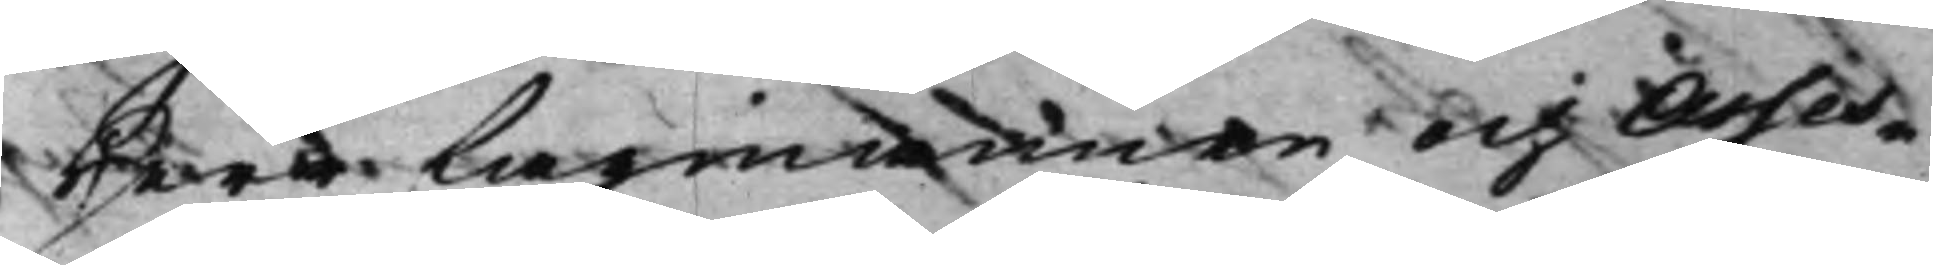Herr Lagmannen och Asses¬
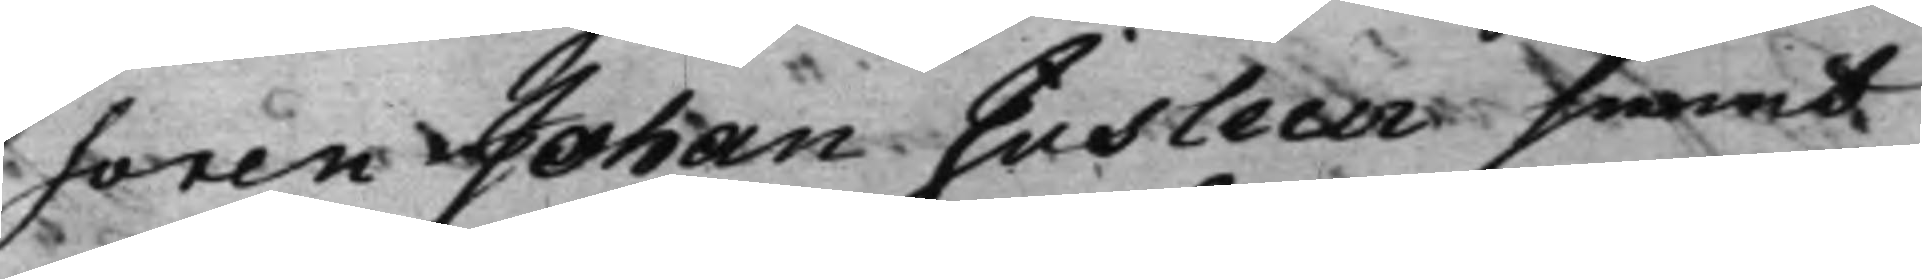soren Johan Jusleen semt
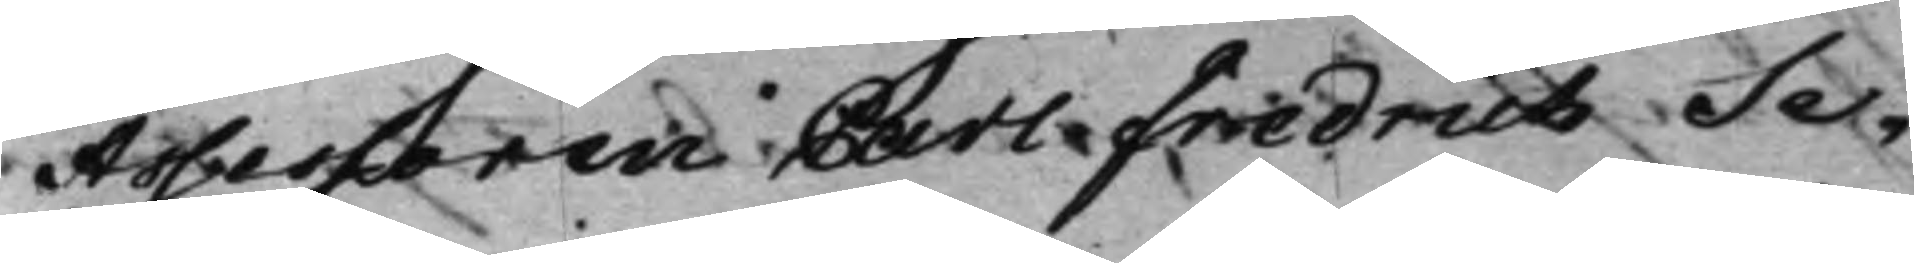Assessoren Carl Fredrich Se¬
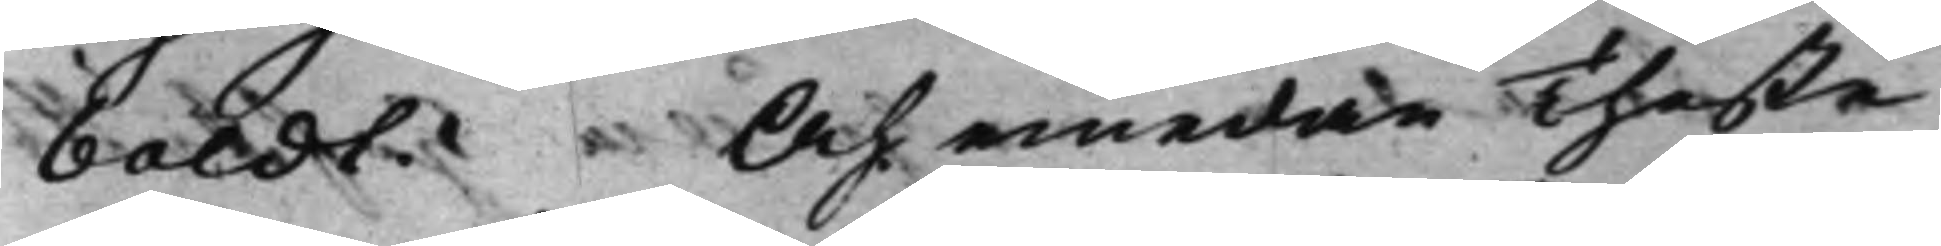baldt. Och emedan Theße
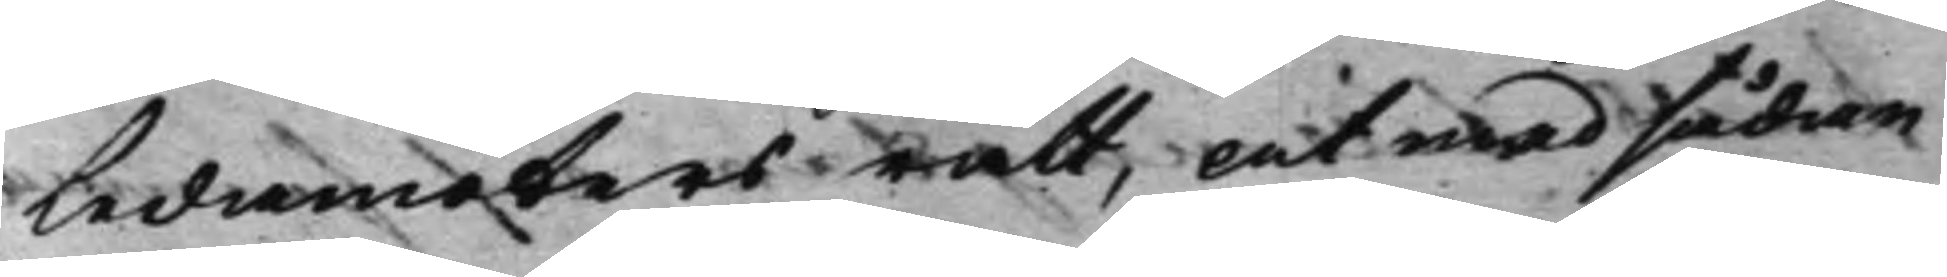Ledamöters rätt, at med sådan
